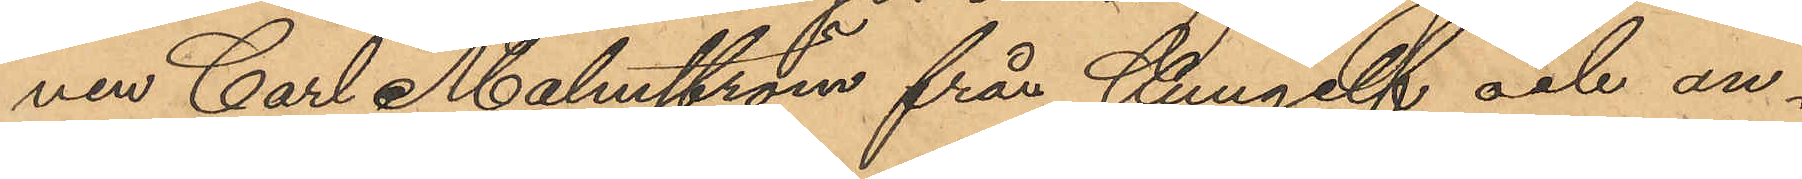nen Carl Malmström från Kungelf och an¬
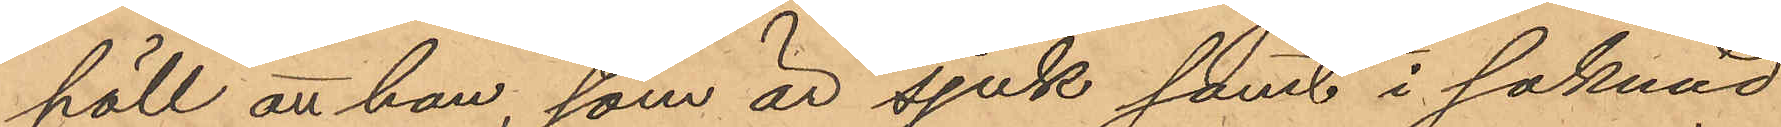höll att han, som är sjuk samt i saknad
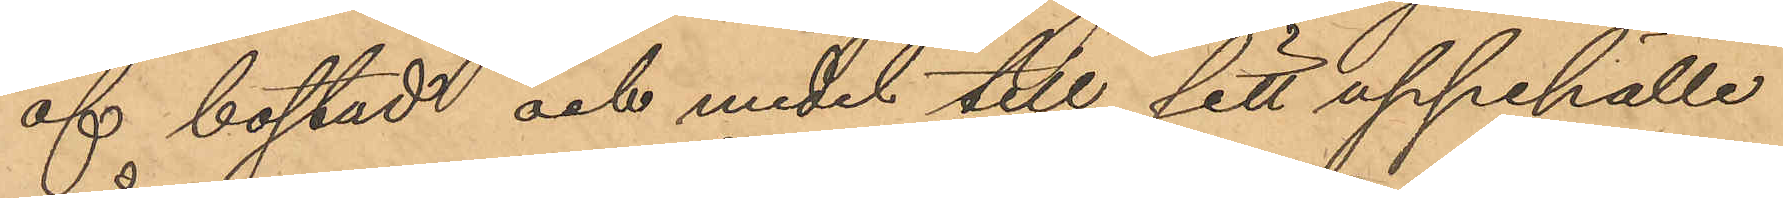af bostad och medel till sitt uppehälle
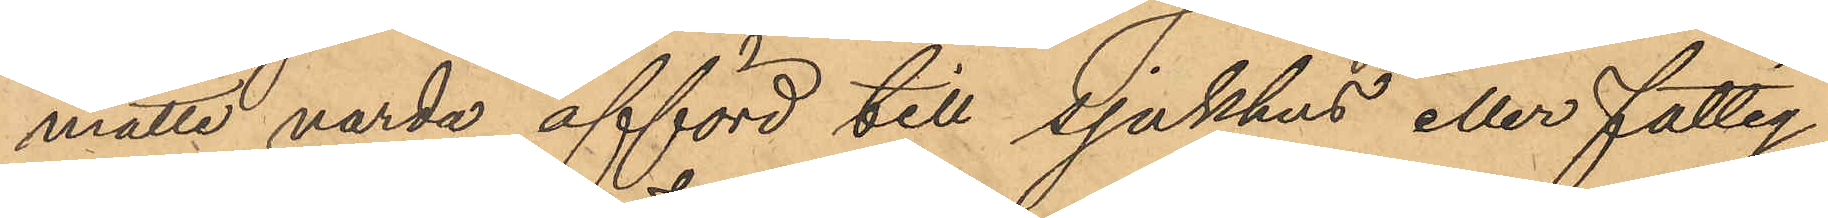måtte varda afförd till sjukhus eller fattig¬
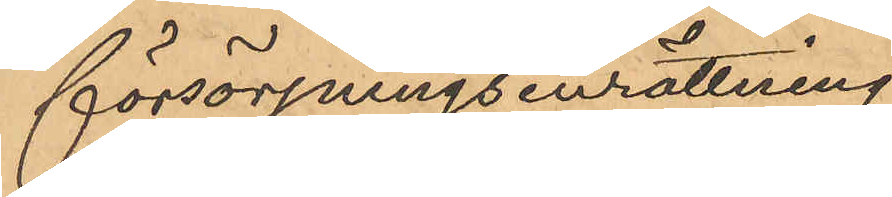försörjningsinrättning.
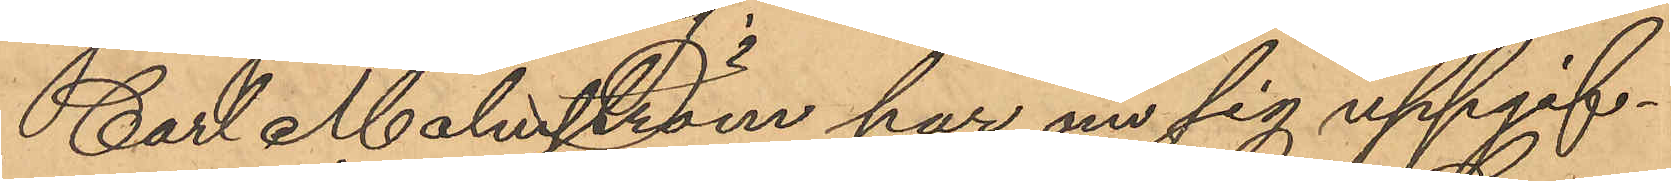Carl Malmström har om sig uppgif¬
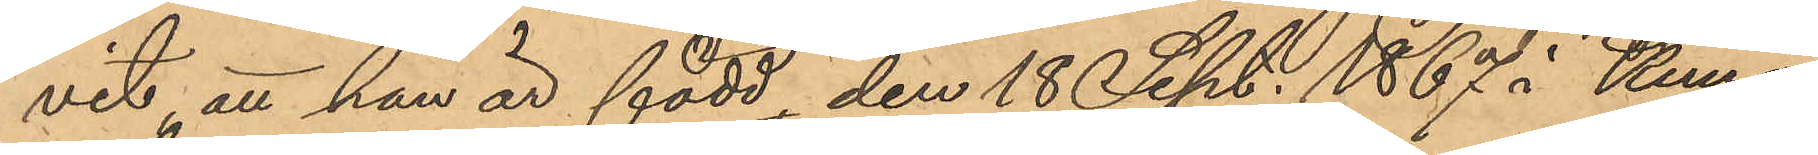vit att han är född den 18 Sept. 1867 i Kung¬
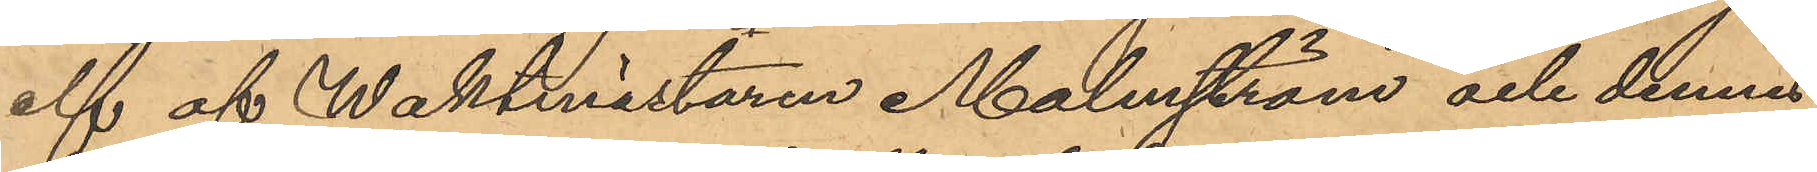elf af Waktmästaren Malmström och dennes
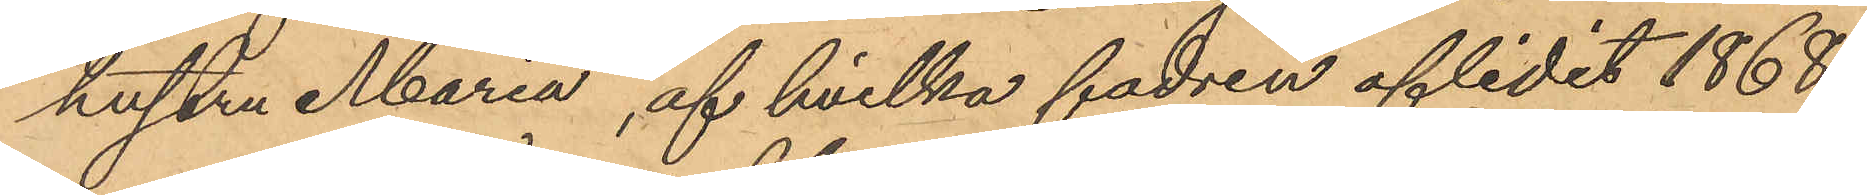hustru Maria, af hvilka fadren aflidit 1868,
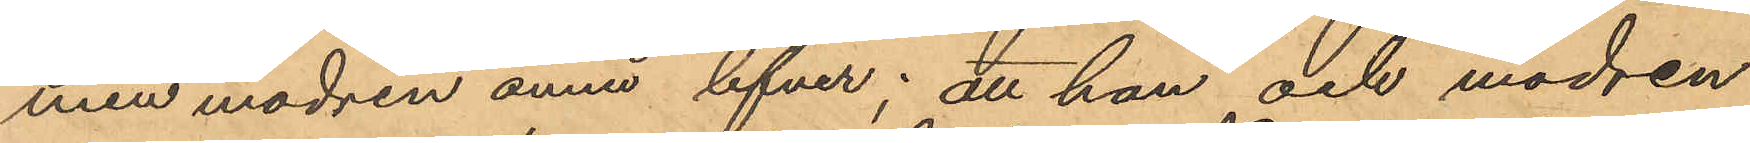men modren ännu lefver; att han och modren
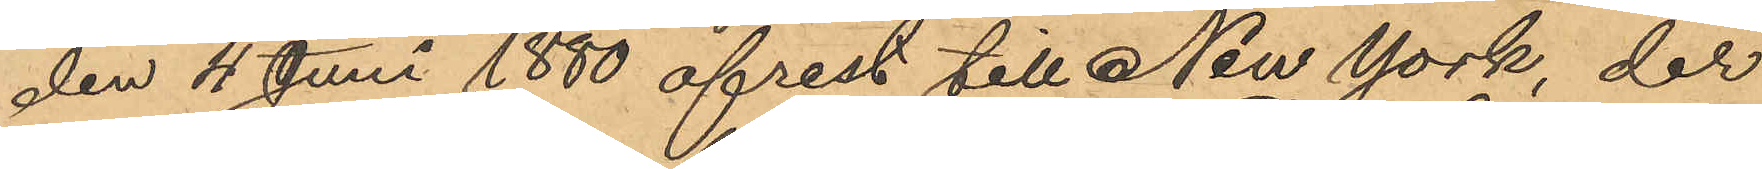den 4 Juni 1880 afrest till New York, der
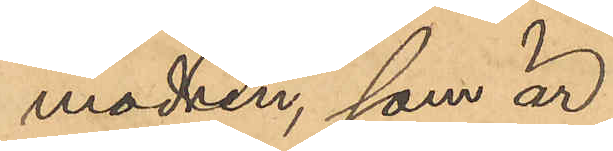modren, som är
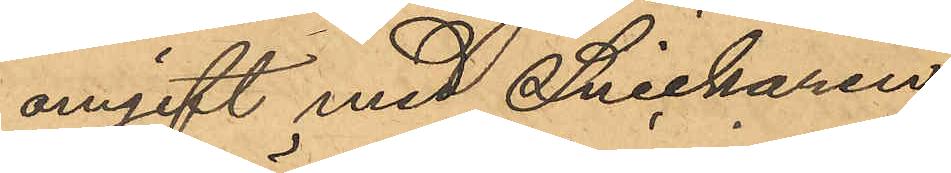omgift med Snickaren
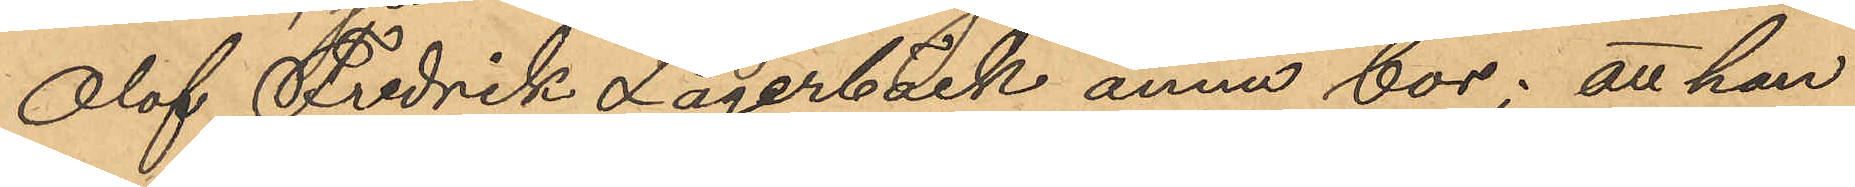Olof Fredrik Lagerbäck ännu bor; att han
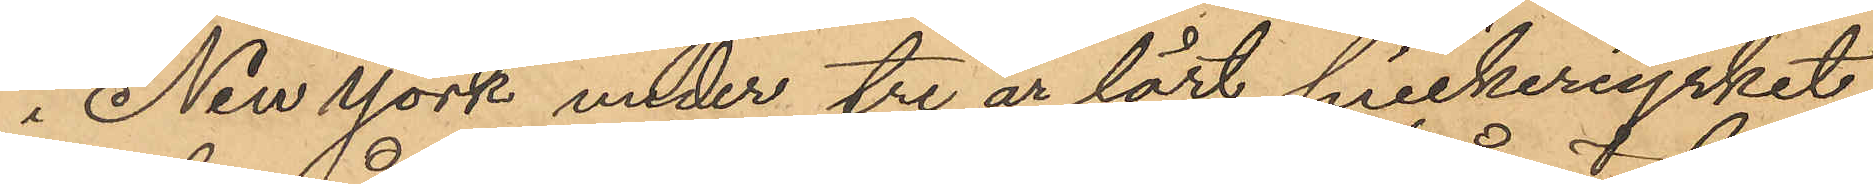i New York under tre år lärt snickeriyrket;
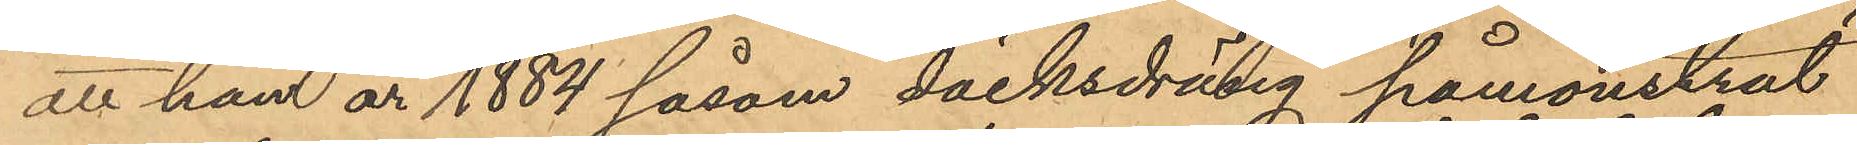att han år 1884 såsom däcksdräng påmönstrat
